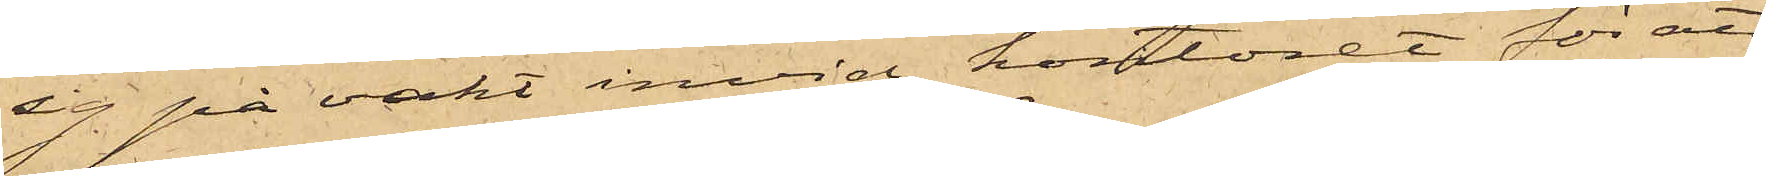sig på vakt invid kontoret för att
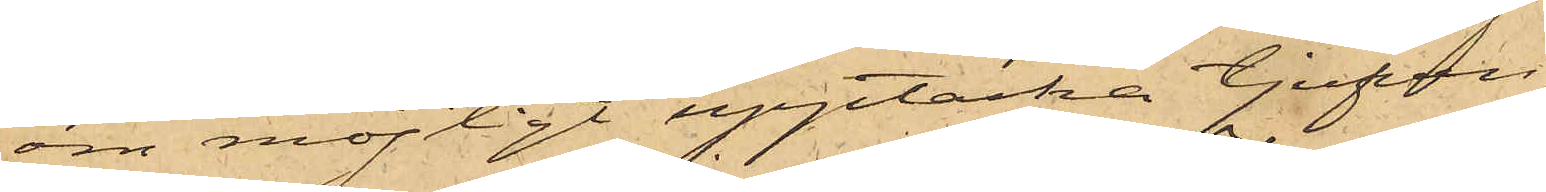om möjligt upptäcka tjufven;
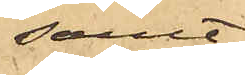samt
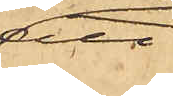att
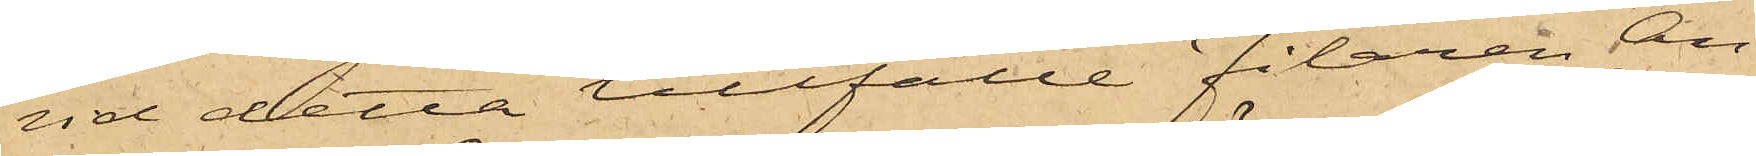vid detta tillfälle Filaren An¬
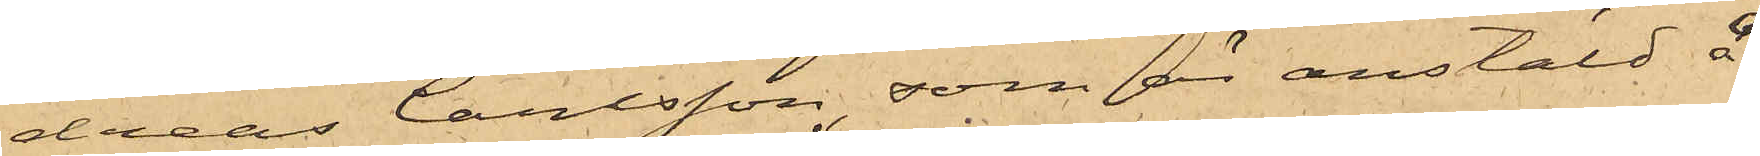dreas Carlsson, som är anstäld å
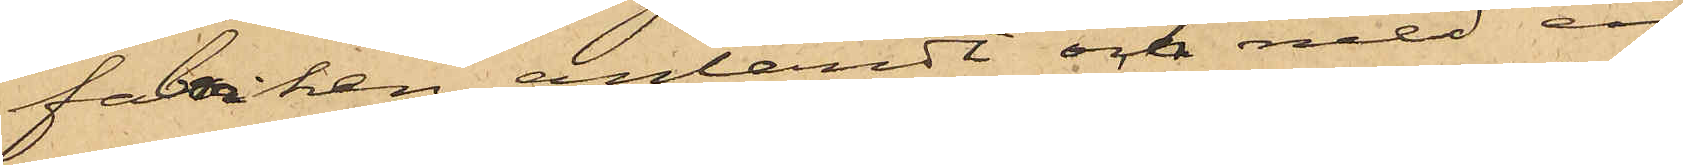fabriken anländt och med en
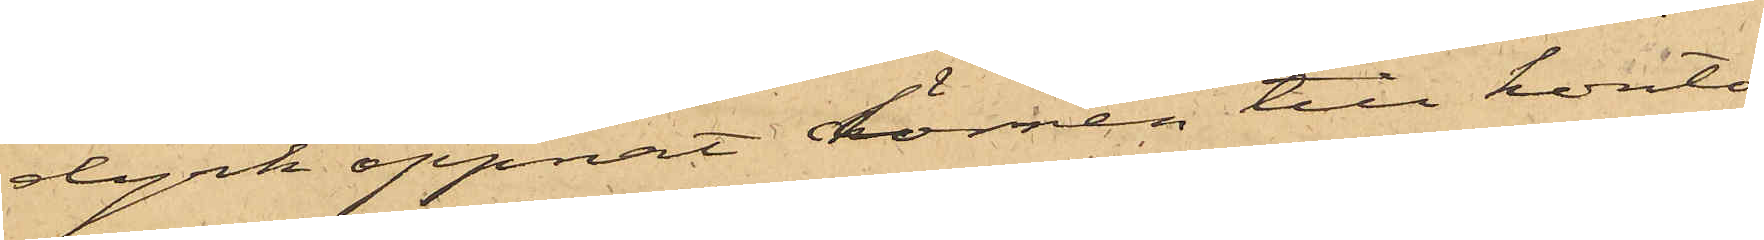dyrk öppnat dörren till konto¬
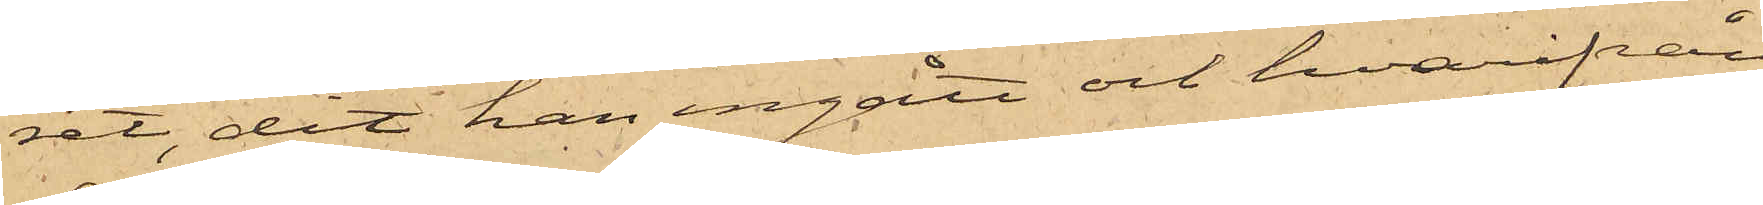ret, dit han ingått och hvarifrån
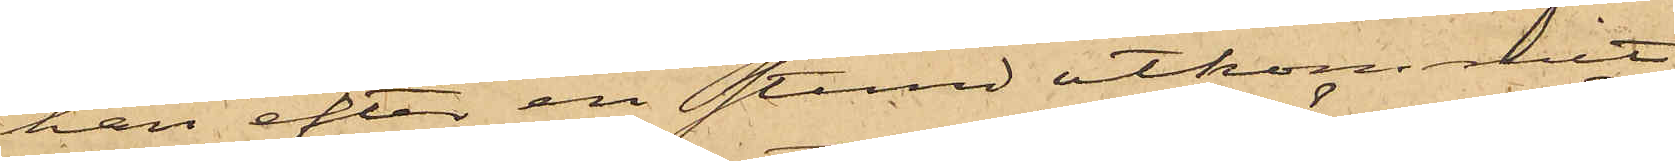han efter en stund utkommit
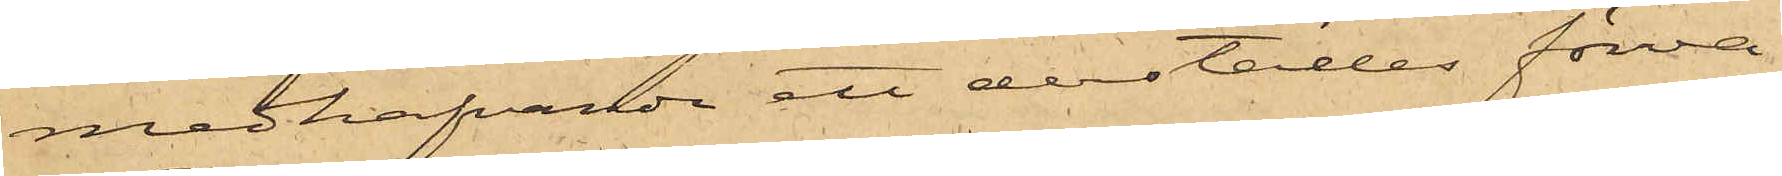medhafvande ett derstädes förva¬
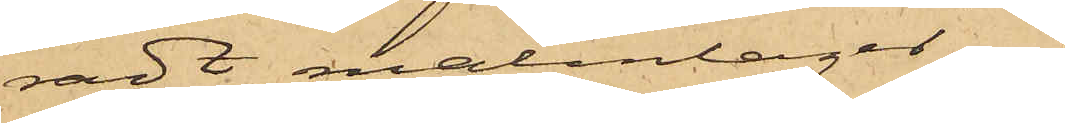radt malmlager.
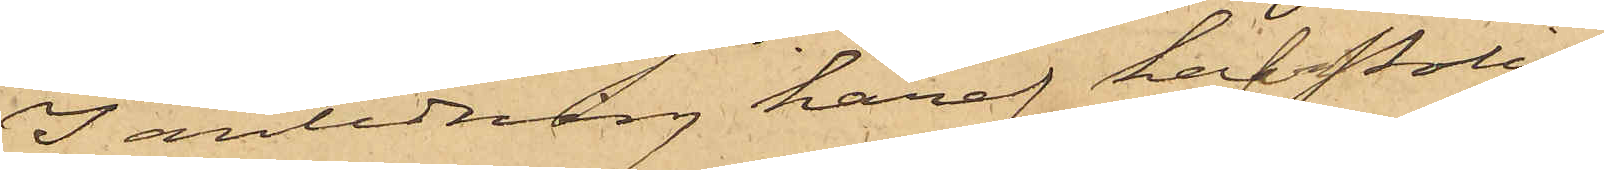I anledning häraf hafva Polis¬
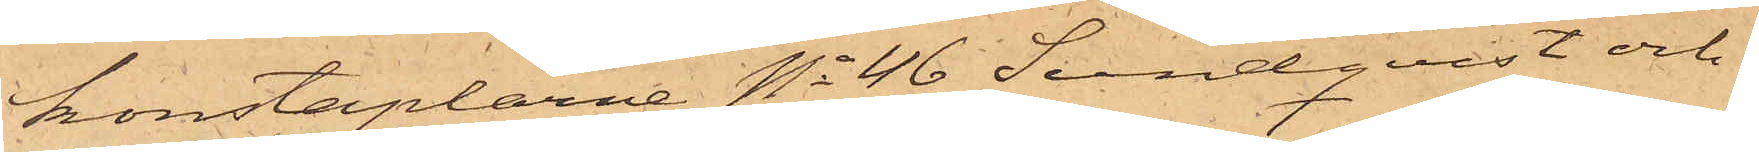konstaplarne No 46 Sundqvist och
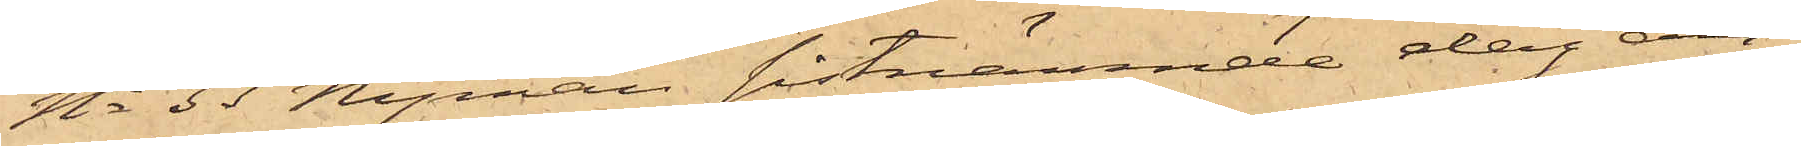No 33 Nyman, sistnämnde dag an¬
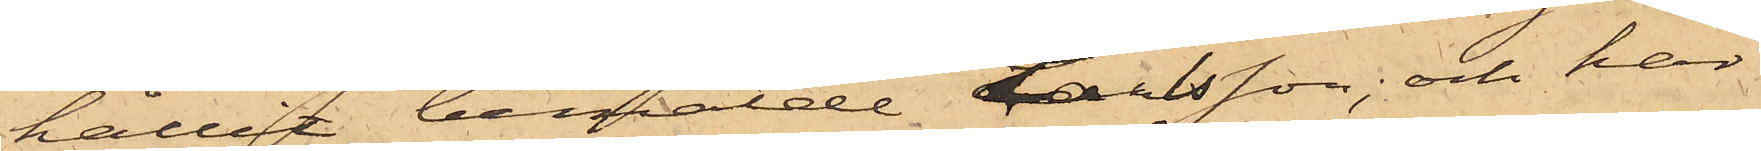hållit bemälde Larsson; och har
